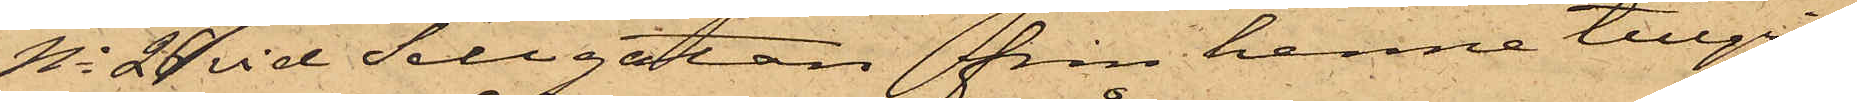No 26 vid Sillgatan från henne tillgri¬
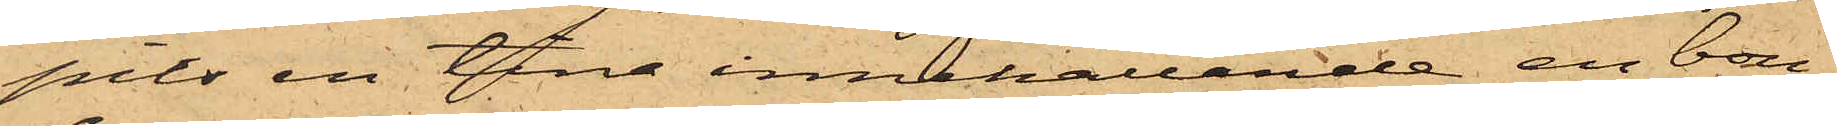pits en tina innehållande en bou¬
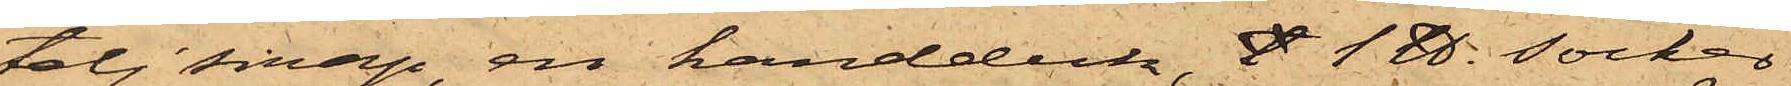telj sirap, en handduk, S 1 ℔. socker
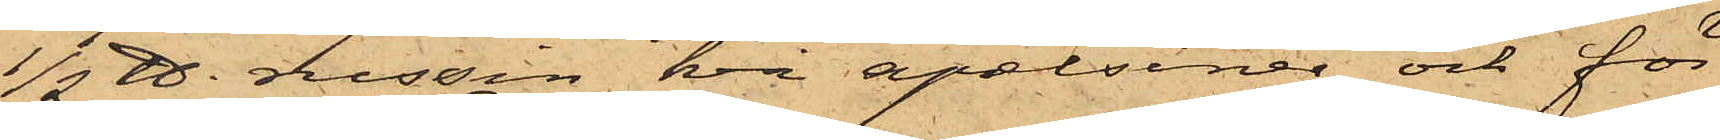1/2 ℔. russin, två apelsiner och för
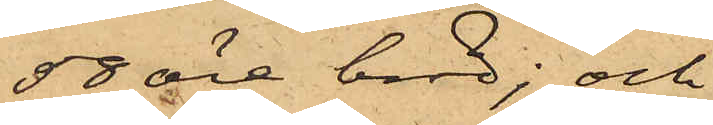58 öre bröd; och
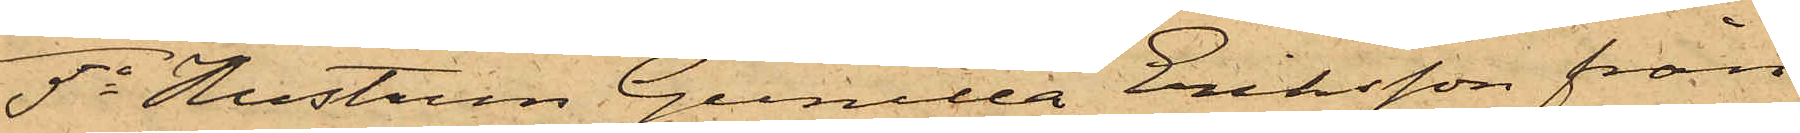5o Hustrun Gunilla Eriksson från
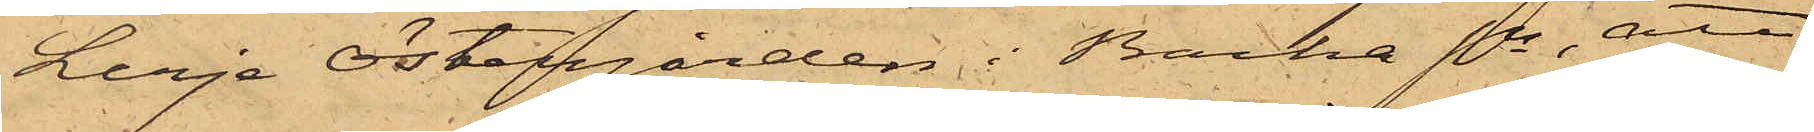Lerje Östergården i Backa Sn, att
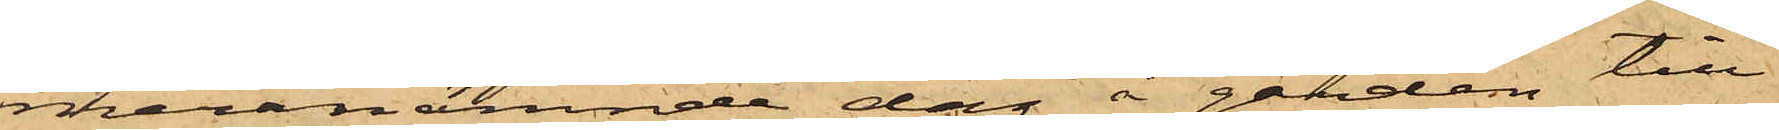meranämnde dag å gården till¬
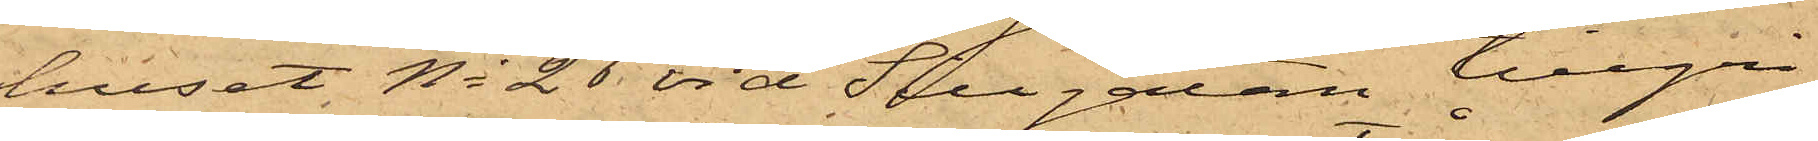huset No 26 vid Sillgatan tillgri¬
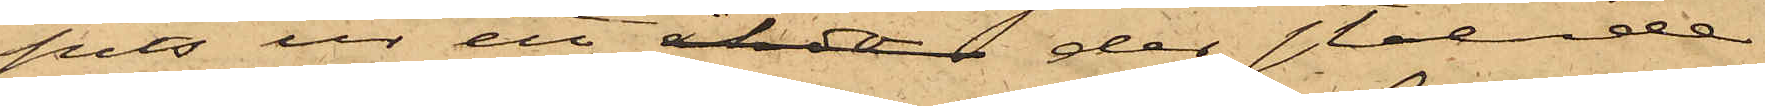pits ur ett åkdo der stående
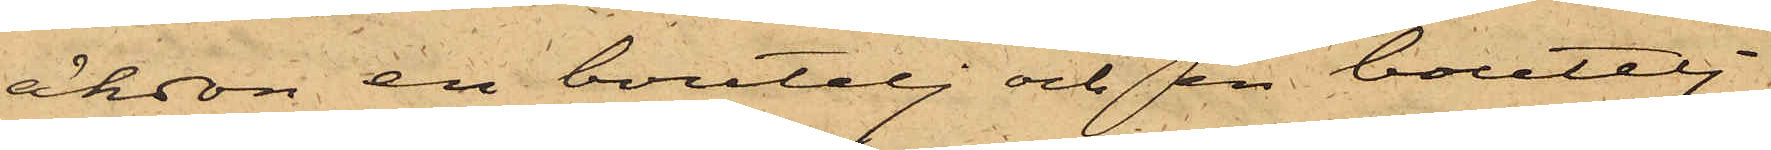åkdon en boutelj och en boutelj
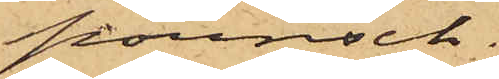pounsch.
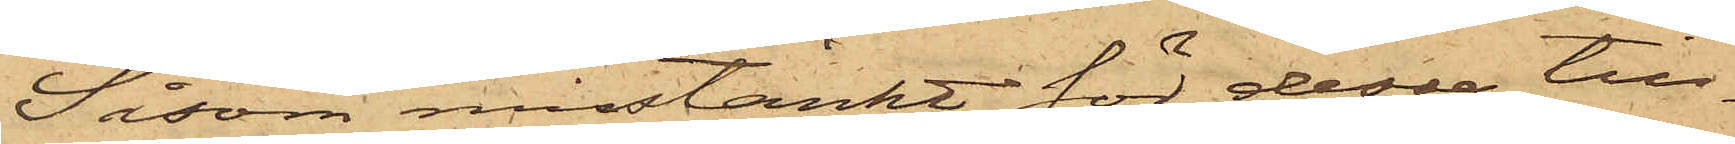Såsom misstänkt för dessa till¬
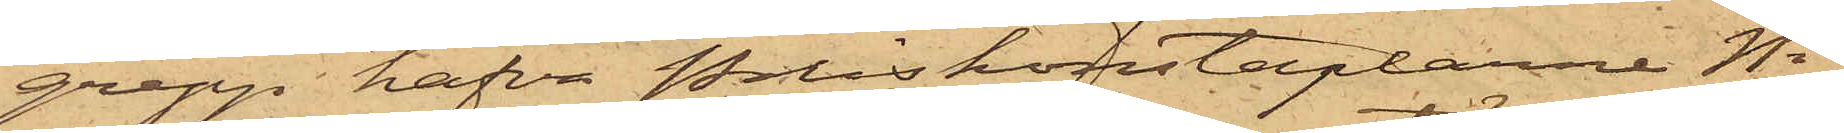grepp hafva Poliskonstaplarne No
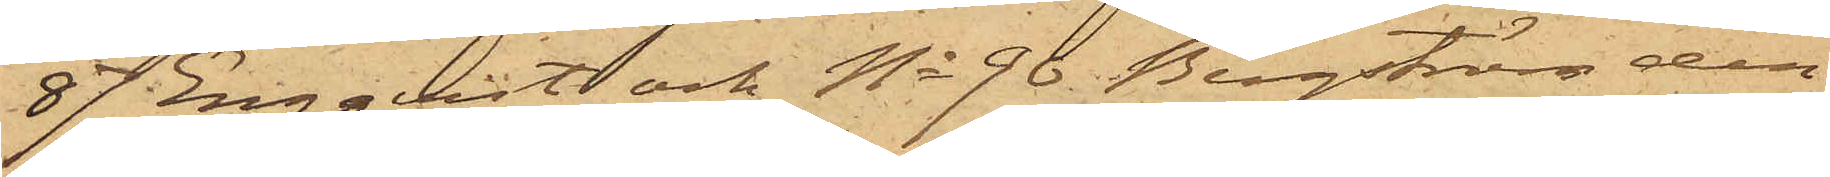87 Engquist och No 90 Bergström den
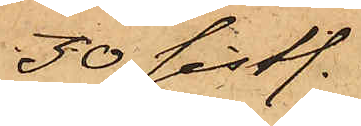30 sistl.
